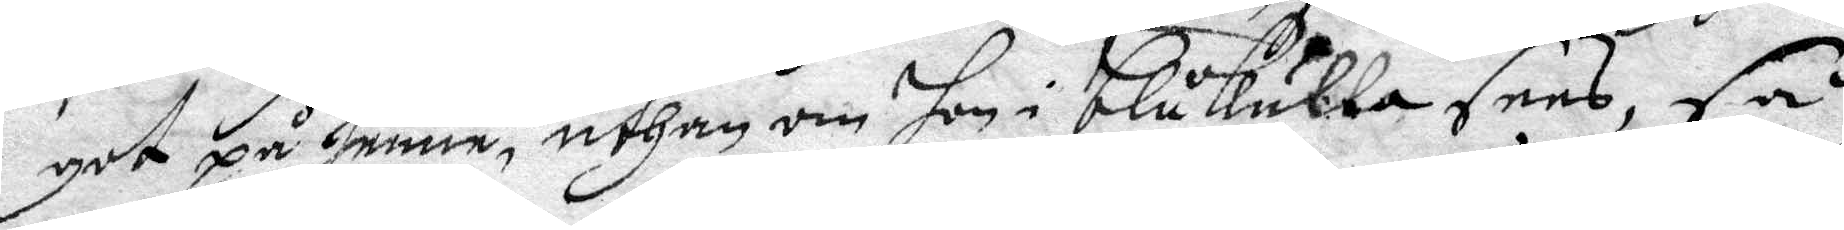got på henne, uthan om hon i blåkulla sees, så
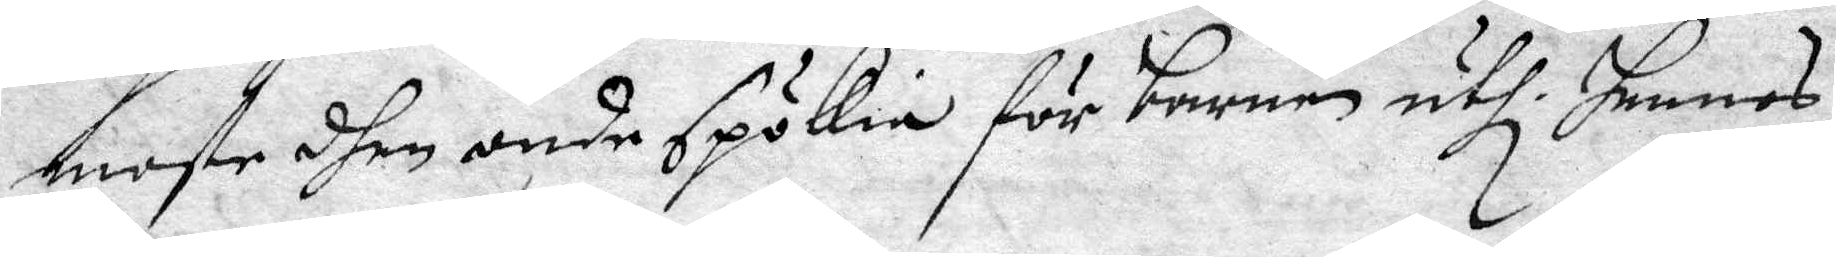moste dhen onde spökie för barnen uthi hennes
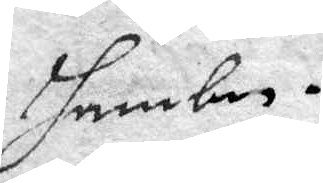hambn.
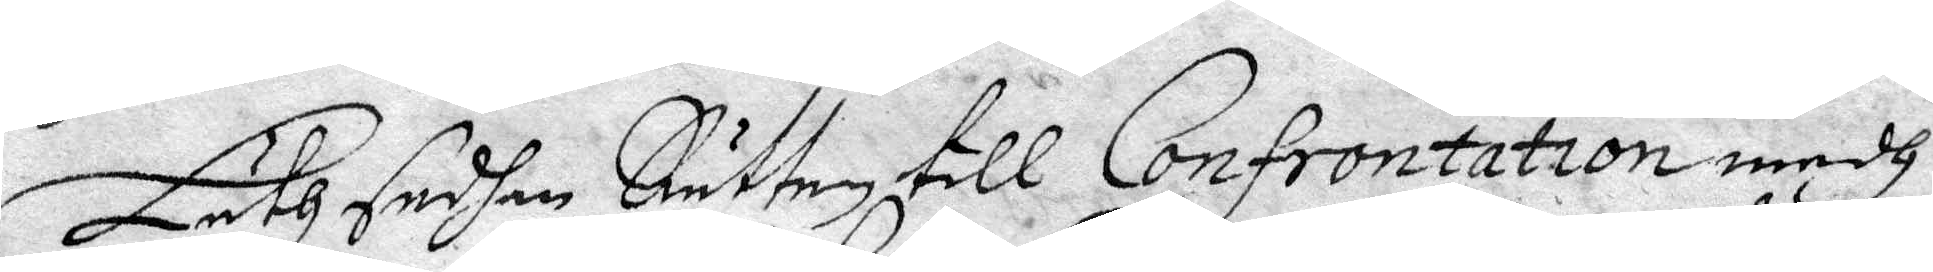Läth sedhan Rätten till Confrontation medh
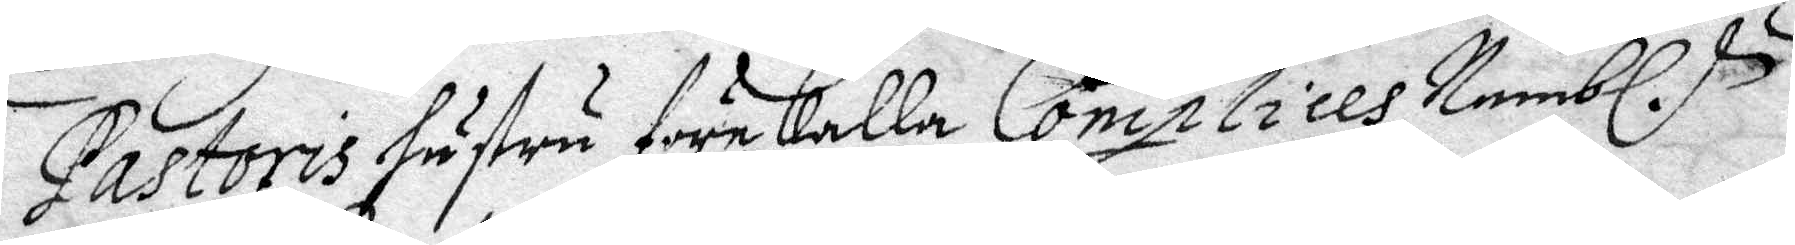Pastoris hustru förekalla Complices, Nembl.
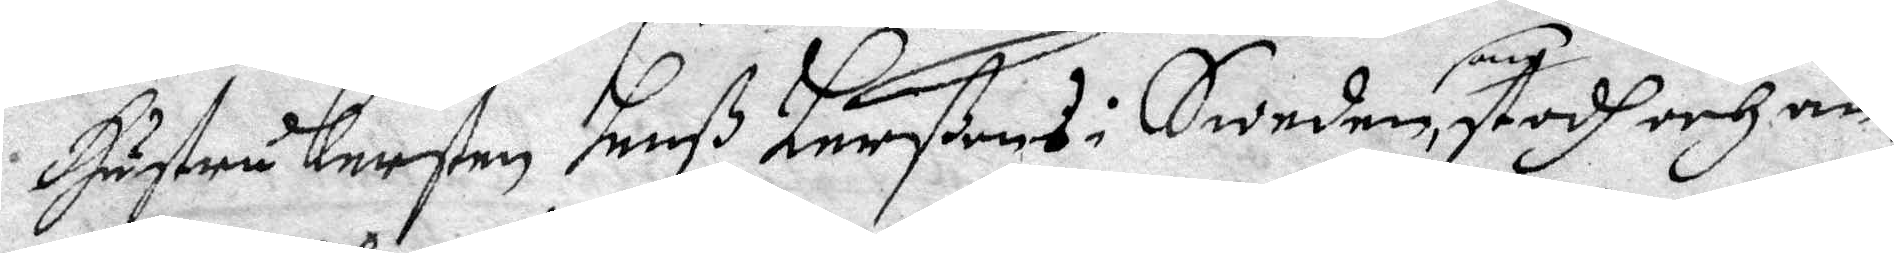Hustru Kersten hanß Larßons i Sweden, som stodh och än¬
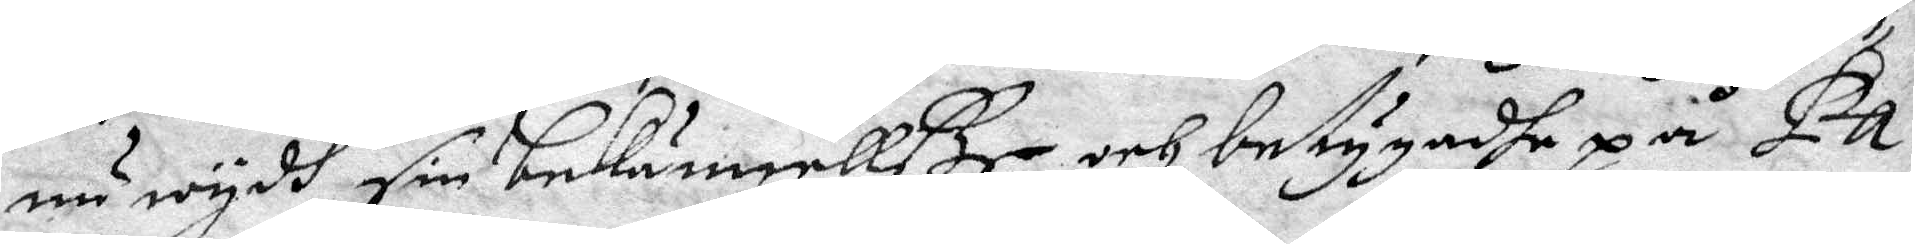nu wydh sin bekännelße, och betygadhe på Pa¬
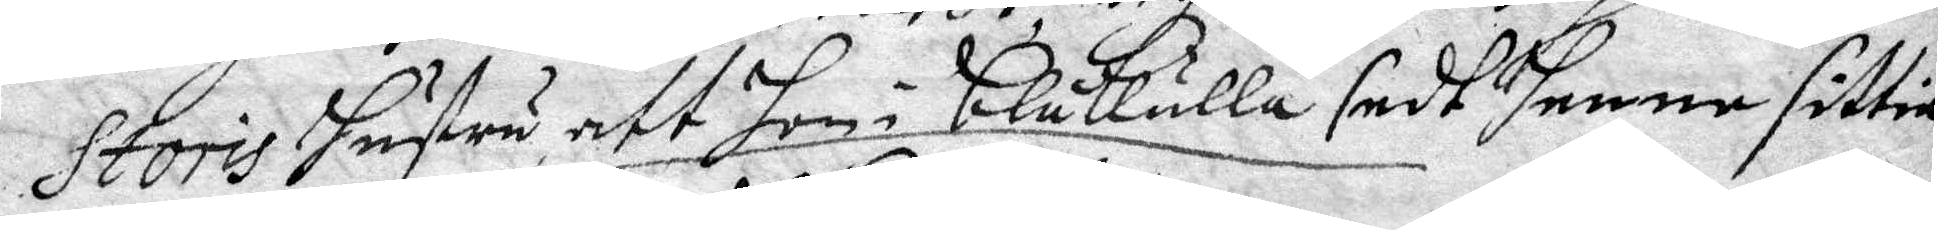storis hustru, att hon i blåkulla sedt henne sittia
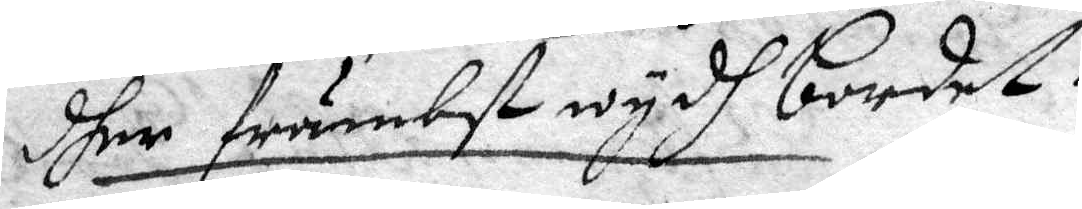dher främbst wydh bordet.
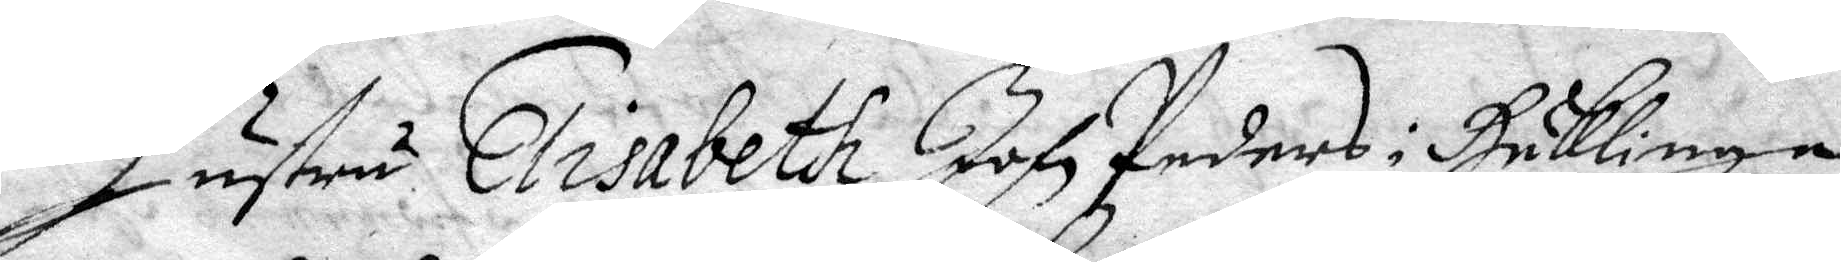Hustru Elisabeth John Peders i Häklinge
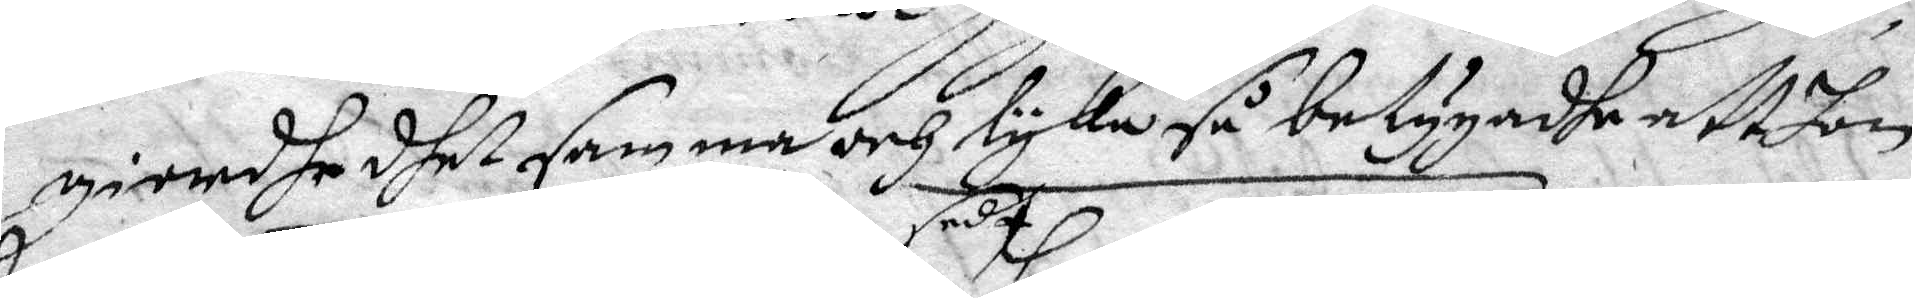giordhe dhet samma och lyka så betygadhe att hon
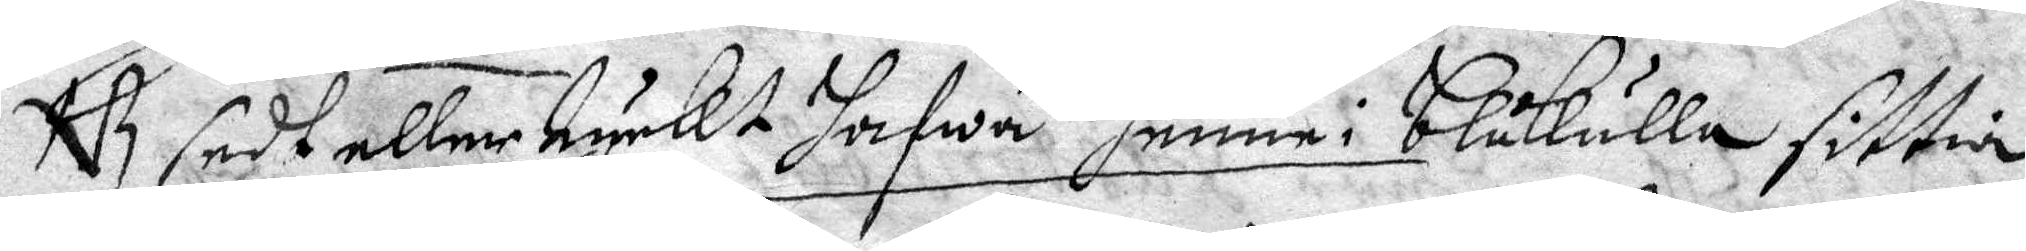NB sedt eller tyckt hafwa sedt henne i blåkulla sittia
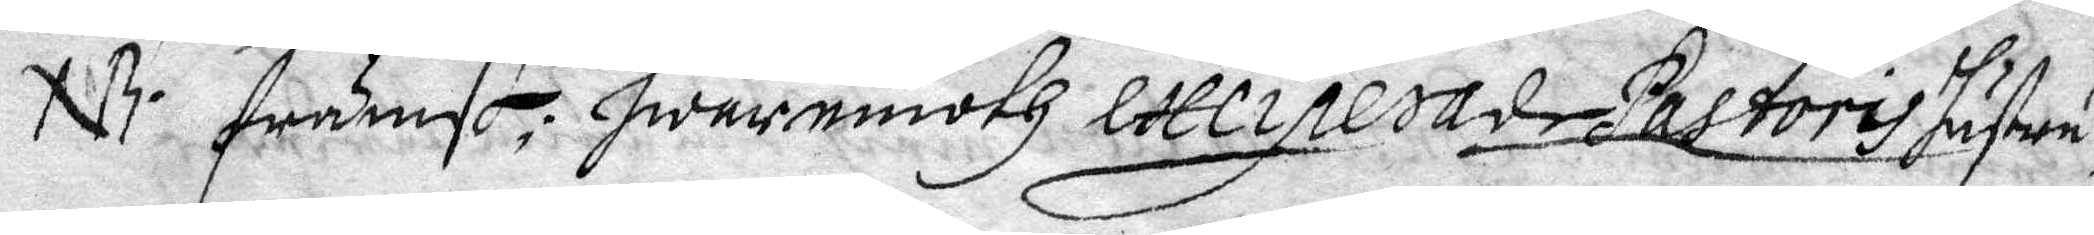NB främst; hwaremoth excipesade Pastoris hustru,
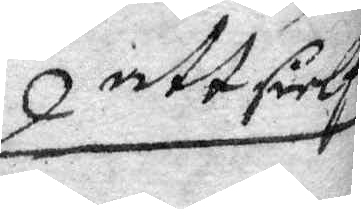att sielf
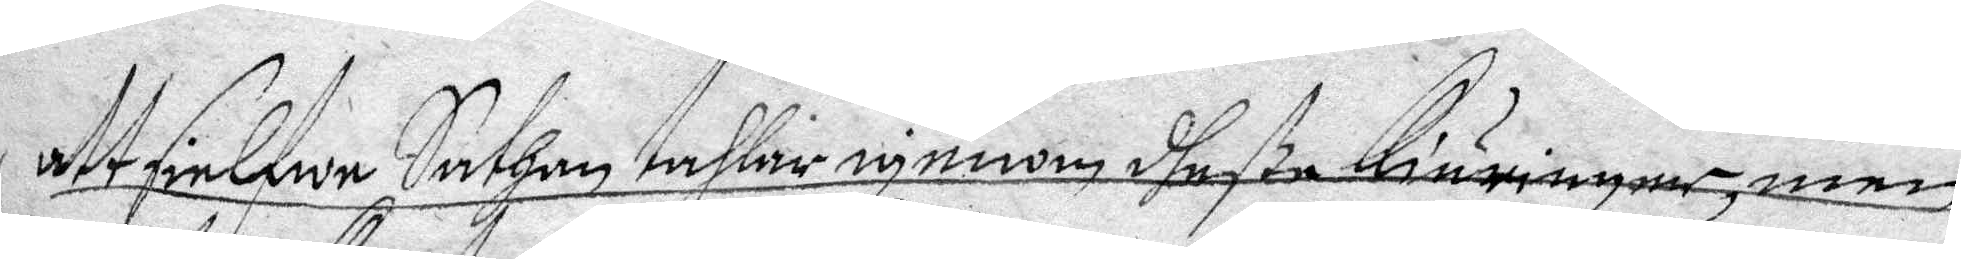att sielfwe Sathan tahlar igenom dheße Kiäringar, men
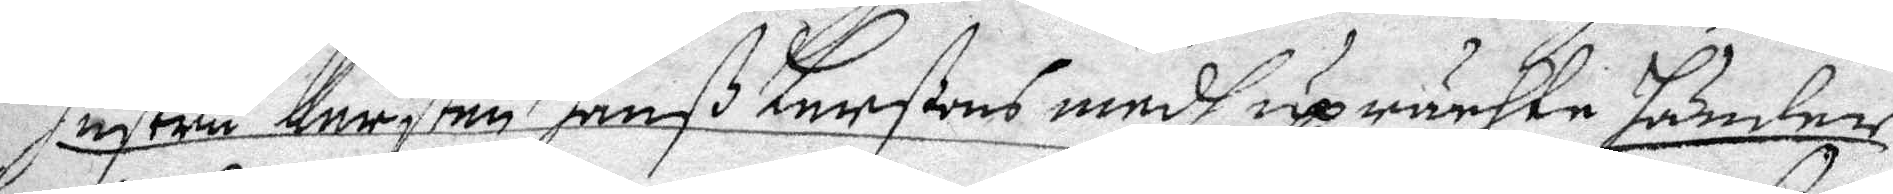hustru Kersten hanß Larßons medh uprächte händer
